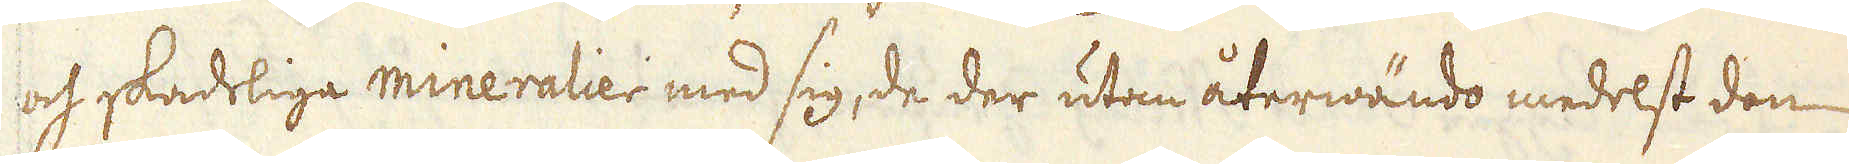och skadeliga mineralier med sig, de der utan återwändo medelst den
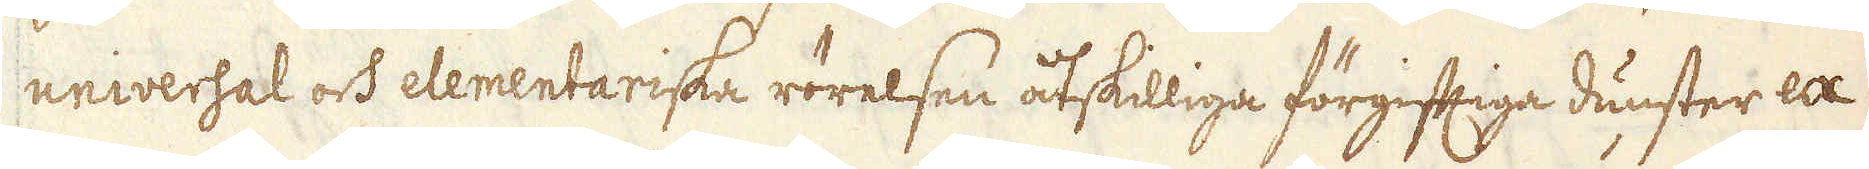universal och elementariska rörelsen åtskilliga förgiftiga dunster ex-
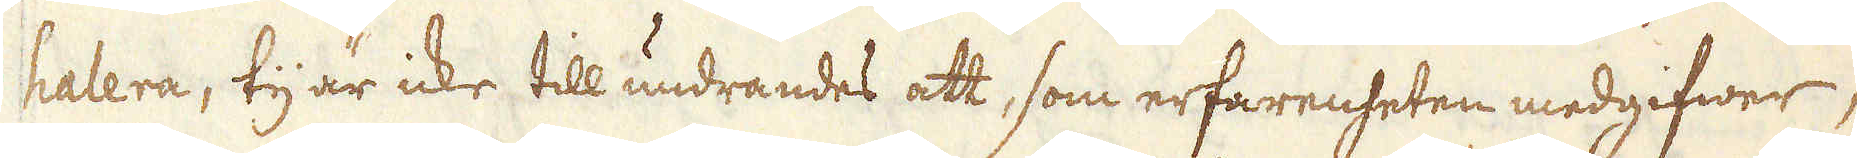halera, ty är icke till undrandes att, som erfarenheten medgifwer,
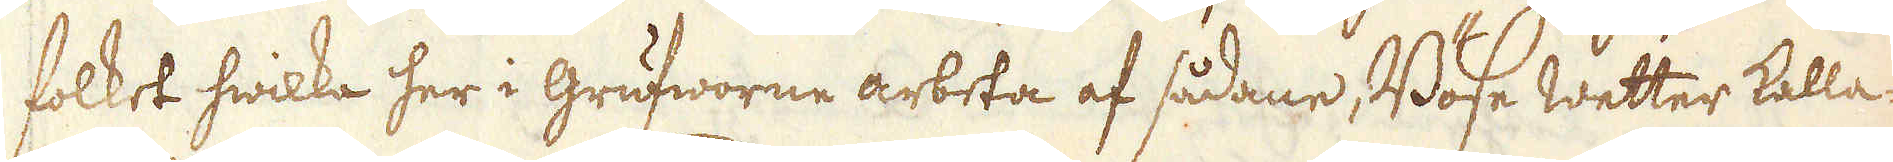folket hwilka her i grufworne arbeta af sådane, Böse Wetter kalla-
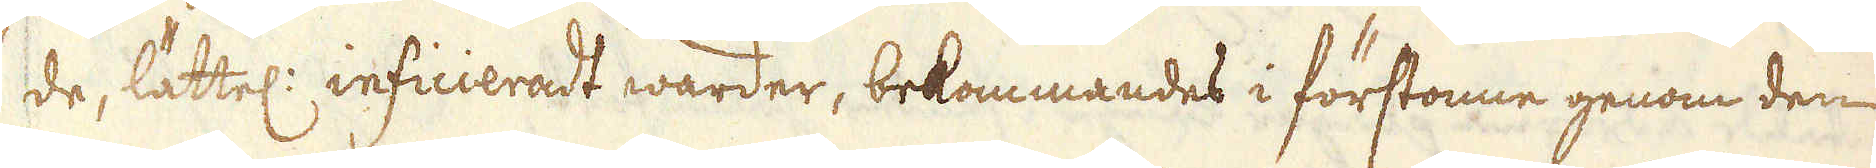de, lättel: inficceradt warder, bekommandes i förstonne genom den
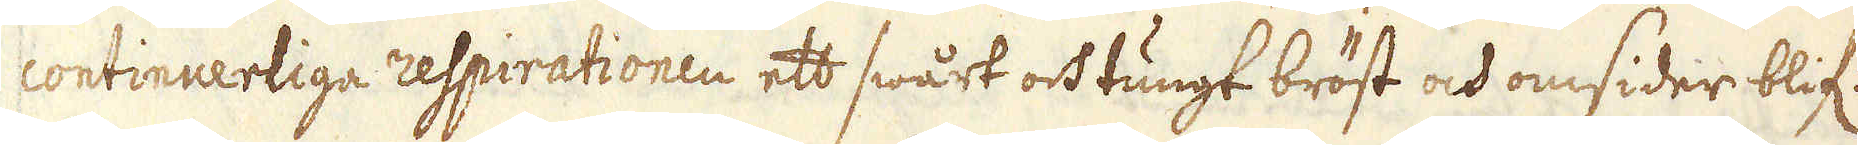continuerliga respirationen ett swårt och tungt bröst och omsider blif:
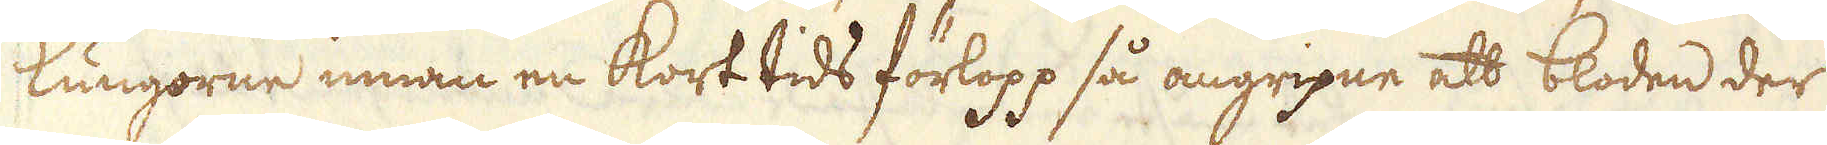lungorne innan en kort tids förlopp så angripne att bloden der
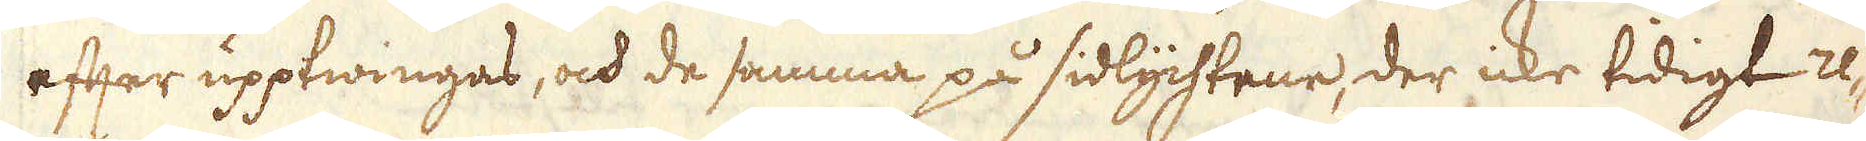efter upptwingas, och de samma på sidlychtene, der icke tidigt re-
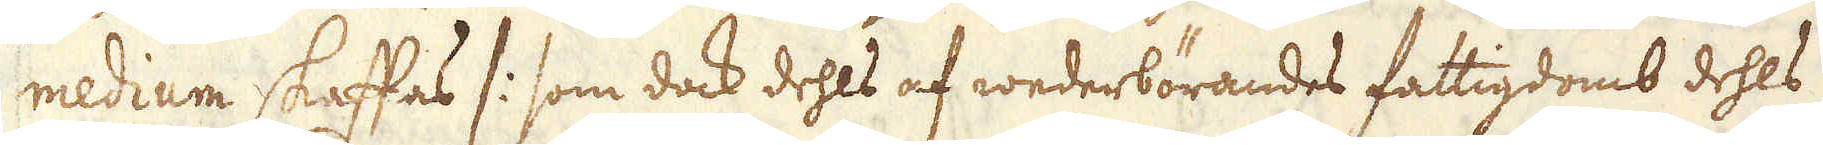medium skaffas /: som dock dehls af wederbörandes fattigdomb dehls
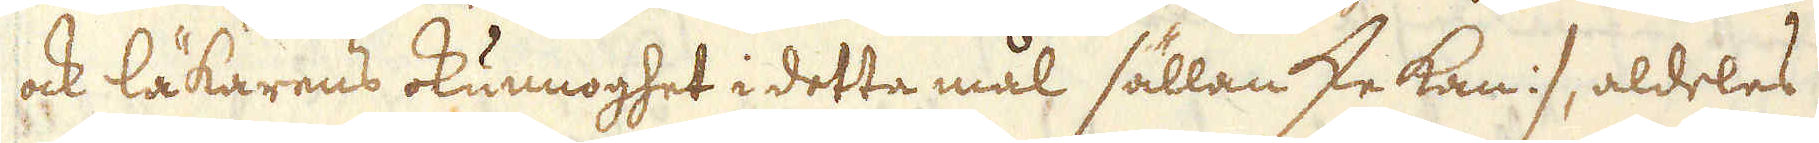ock läkarens okunnoghet i detta mål sällan ske kan :/, aldeles
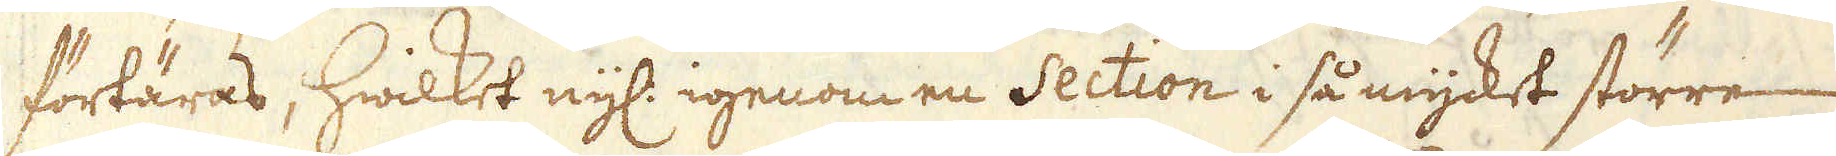förtäras, hwilket nyl: igenom en Section i så mycket större
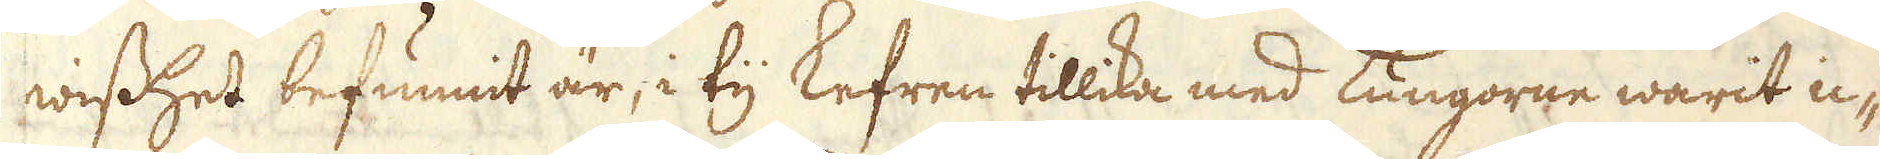wisshet befunnit är, i ty lefren tillika med lungorne warit ic-
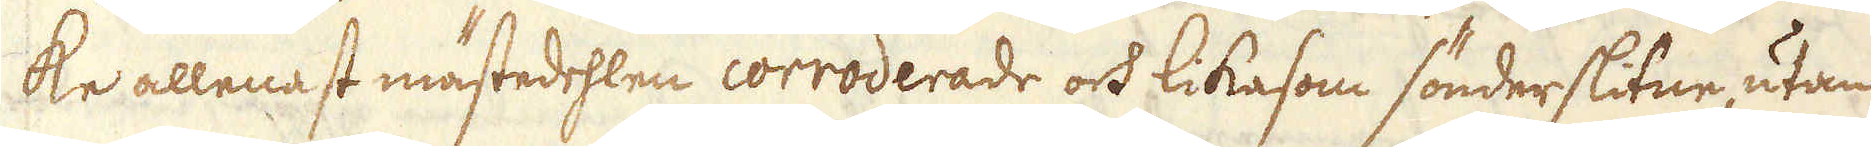ke allenast mästedehlen corroderade och likasom sönderslitne utan
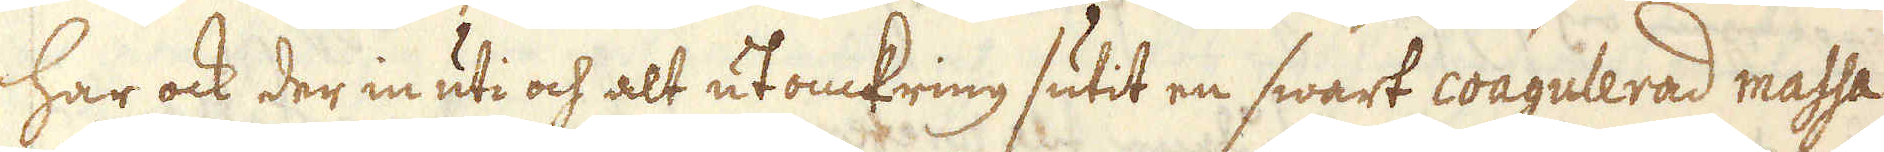har ock der in uti och alt ut omkring sutit en swart coagulerad massa
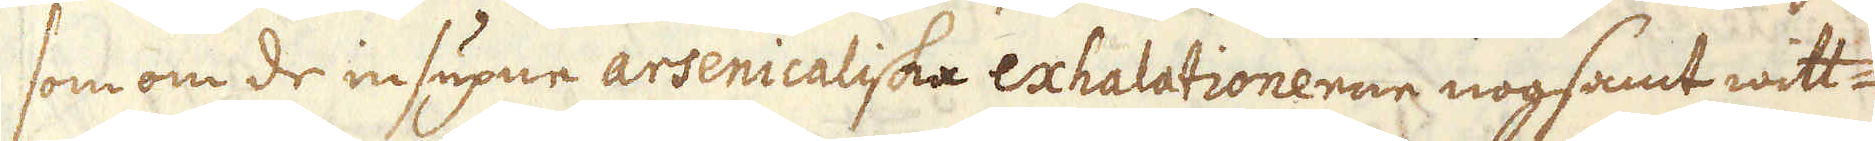som om de insupne arsenicaliska exhalationenne nogsamt witt-
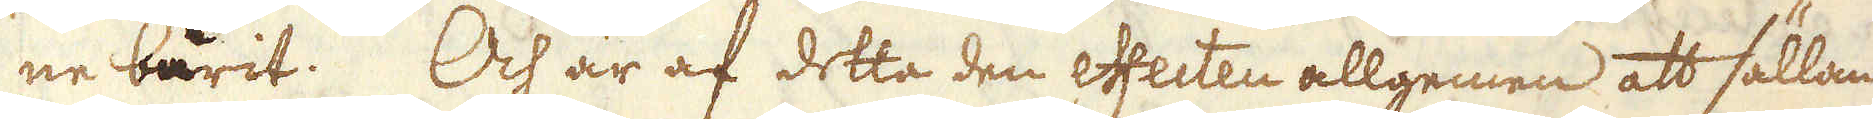ne burit. Och är af detta den effecten allgemen att sällan
